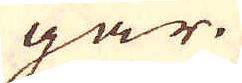gar.
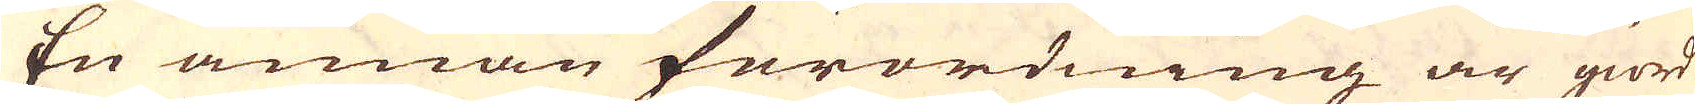En annan förordning är giord
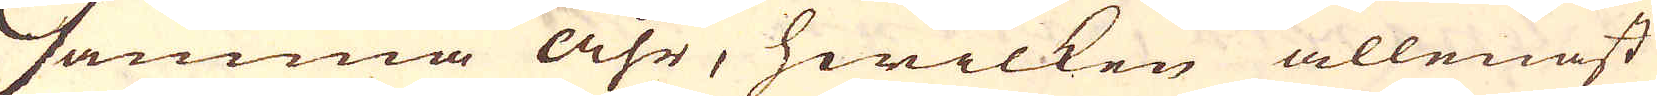samma åhr, hwilken allenast
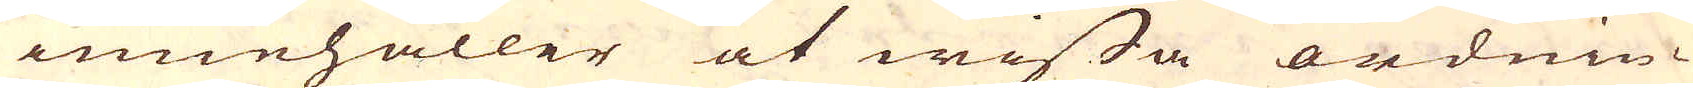innehåller at wissa ordnin-
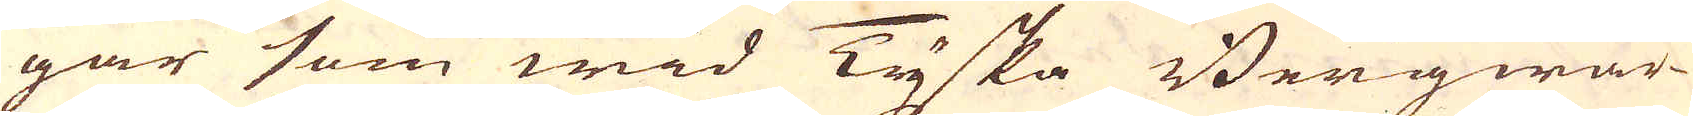gar som wid Tyska Bergwär-
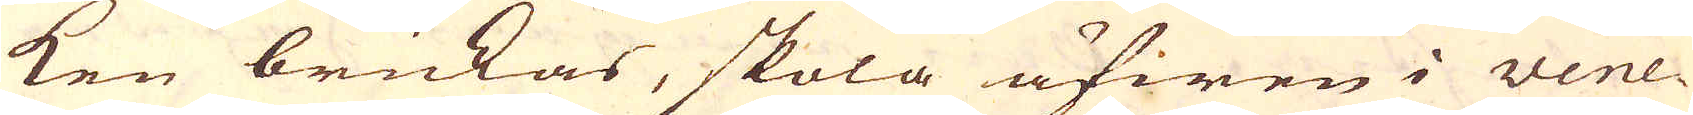ken brukas, skola äfwen i Vene-
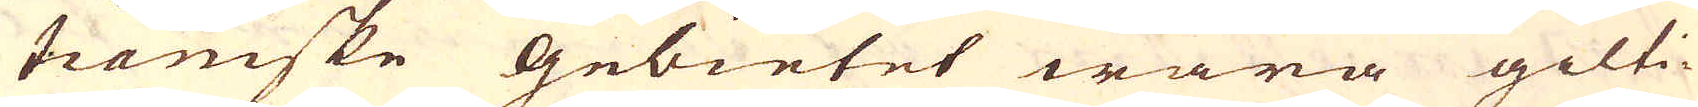tianiske Gebietet wara gilti-
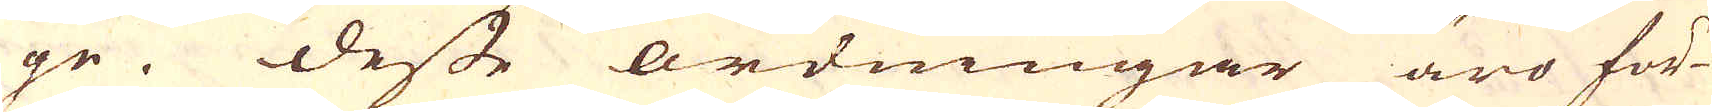ge. Desse ordningar äro för-
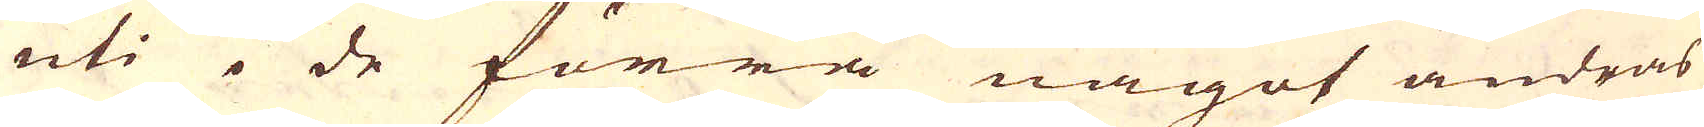uti i de förra något ändras
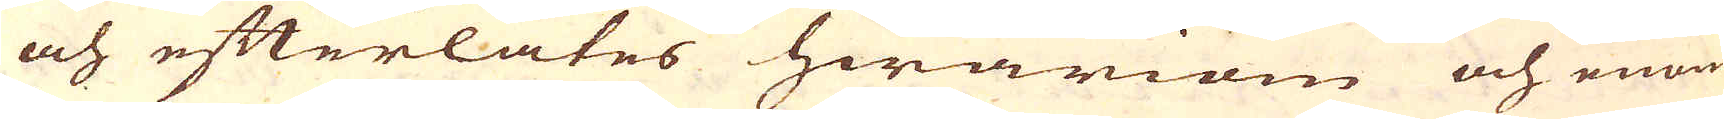och efterlåtes hwariom och enom
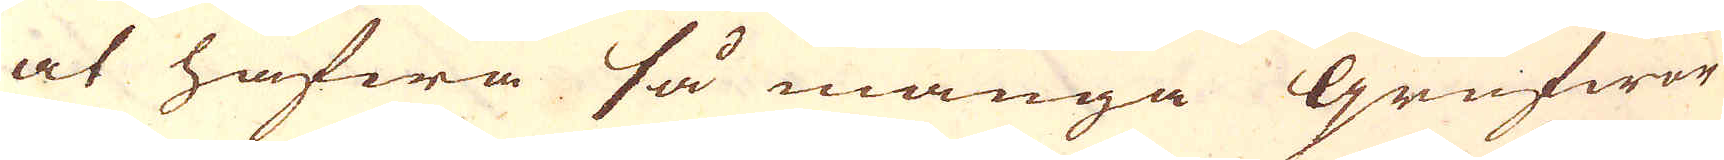at hafwa så många Grufwor
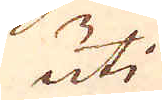uti
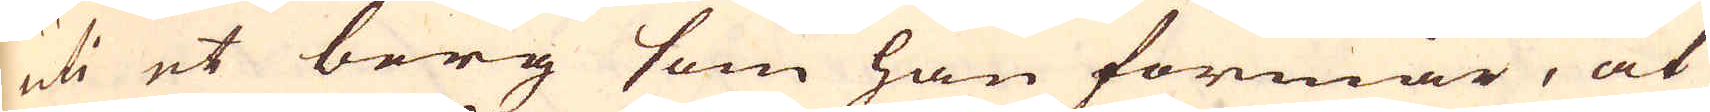uti et berg som han förmår, at
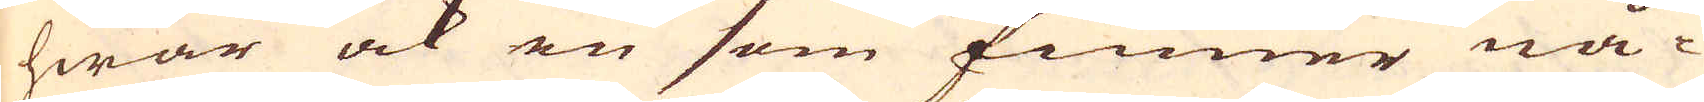hwar ock en som finner nå-
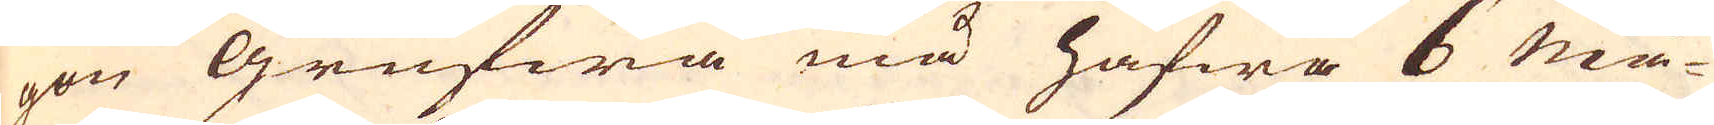gon Grufwa må hafwa 6 Må-
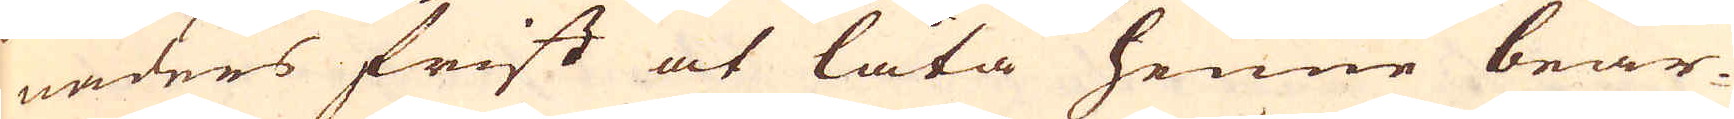naders frist at låta henne bear-
